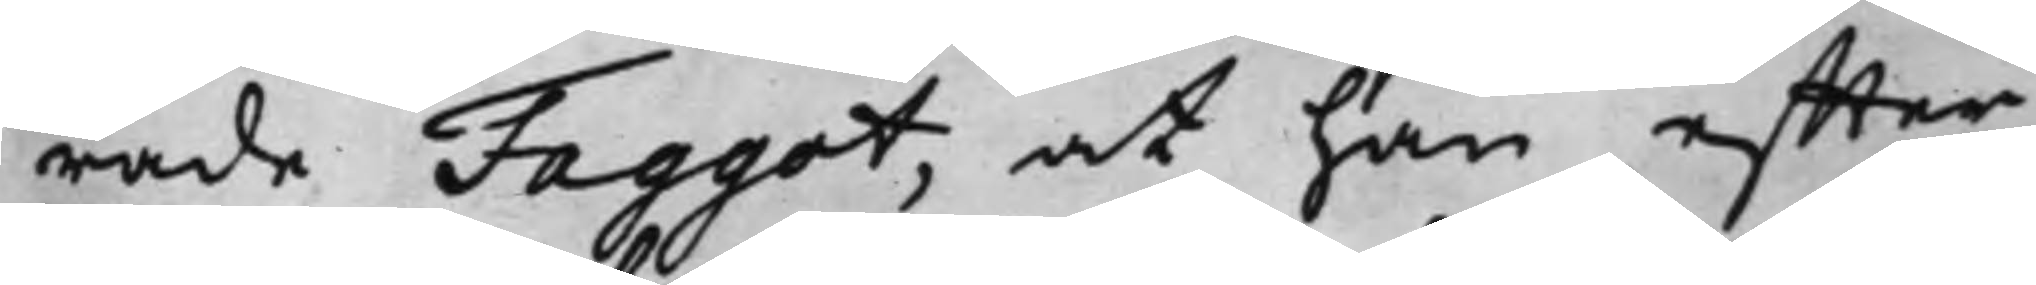rade Faggot, at han effter
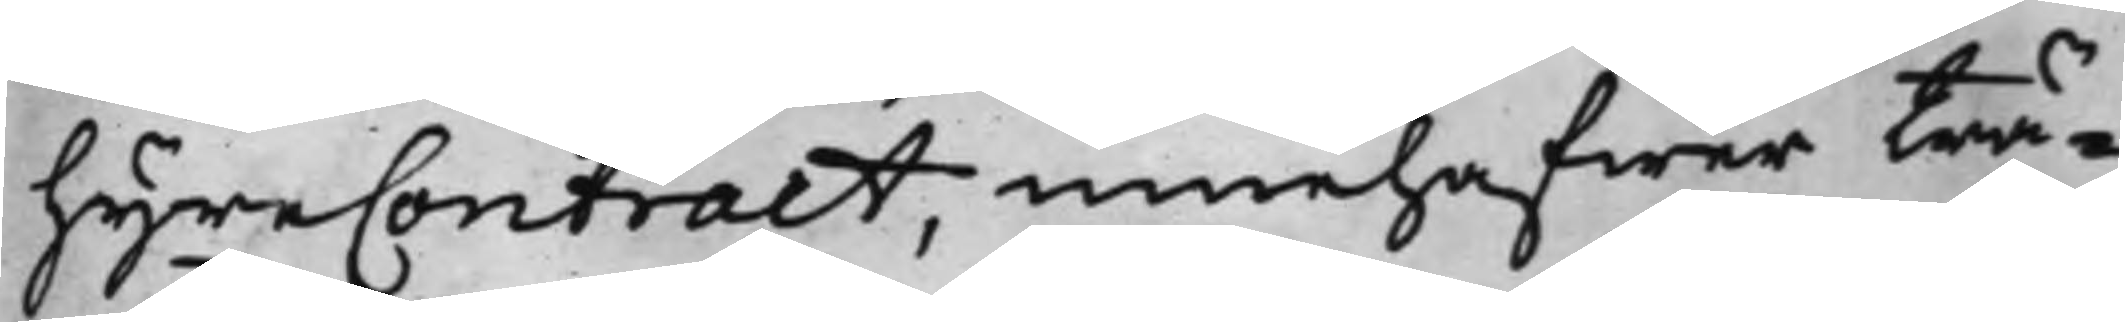HyreContract, innehafwer trä¬
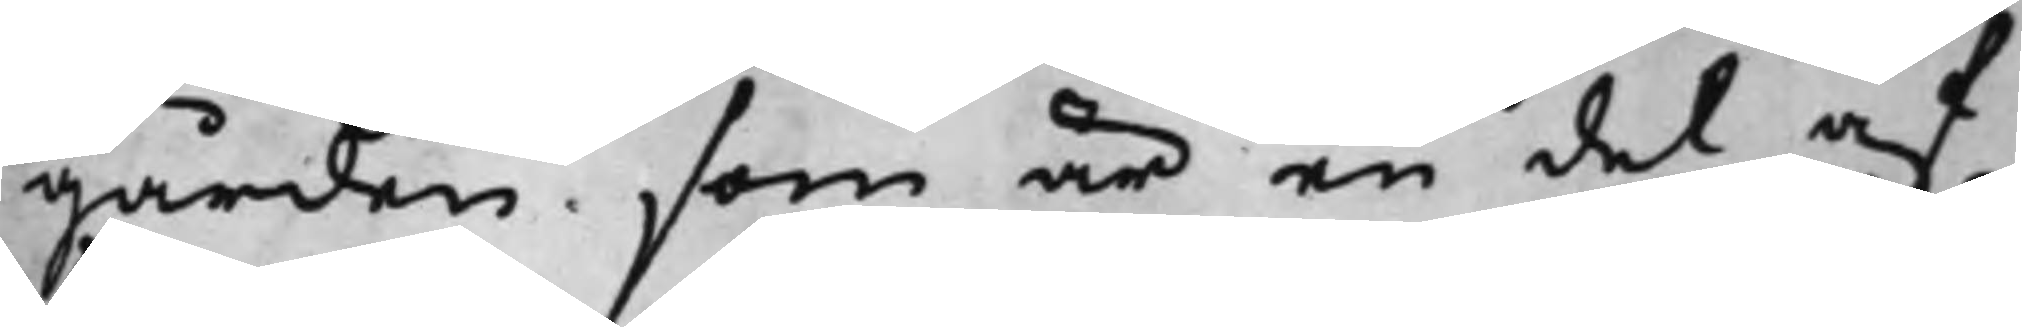gården som är en del af
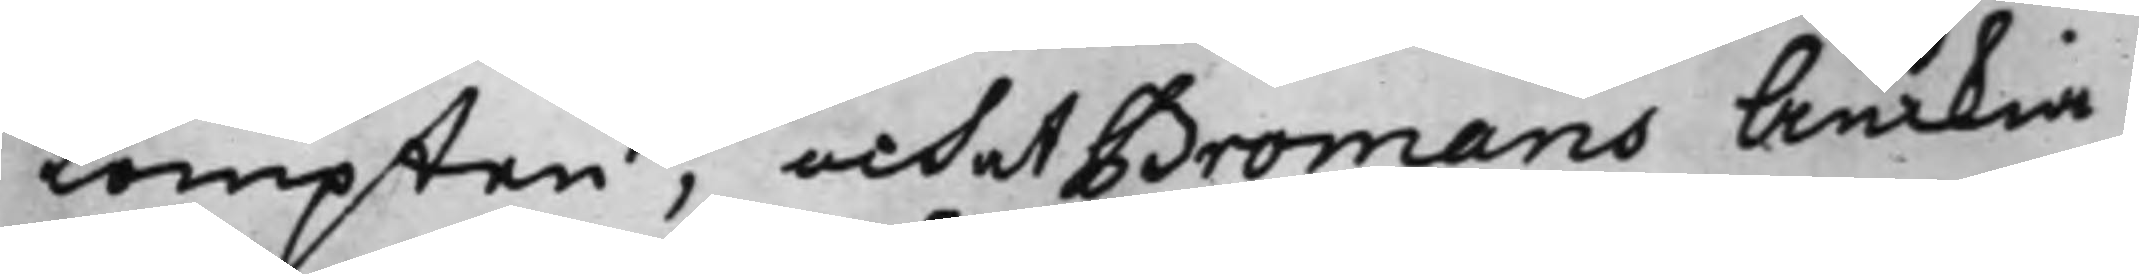tompten, och at Bromans Änkia
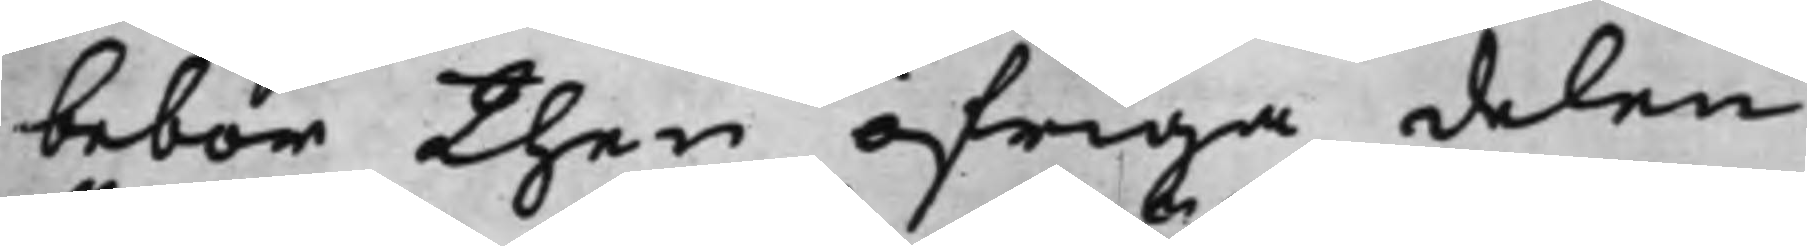bebor then öfriga delen.
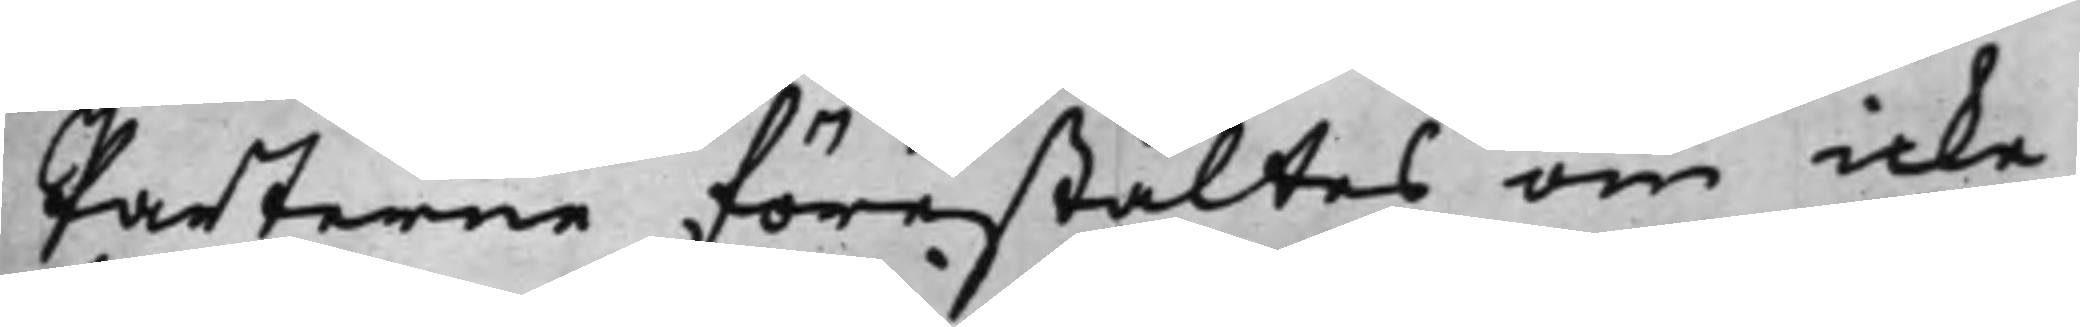Parterne förestältes om icke
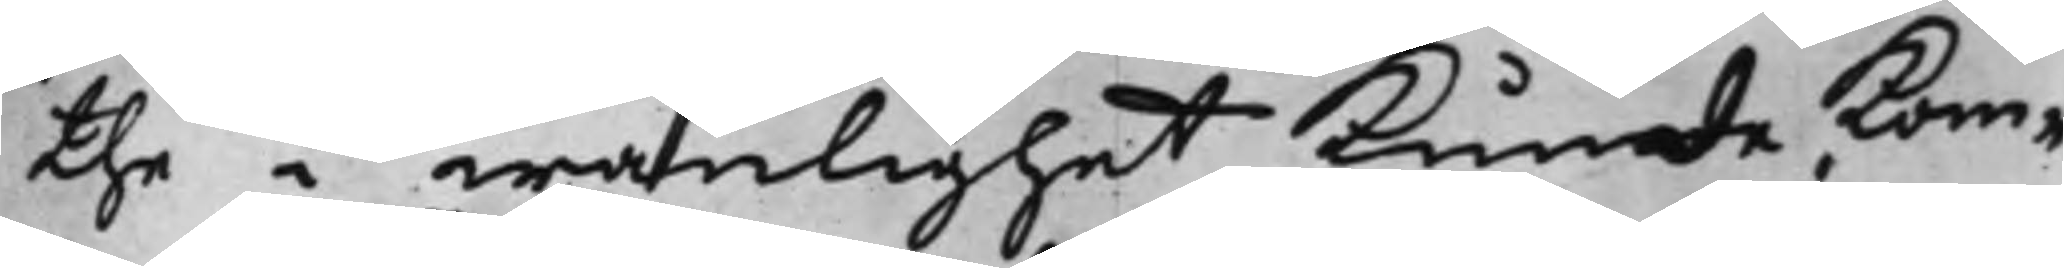the i wänlighet kunde kom¬
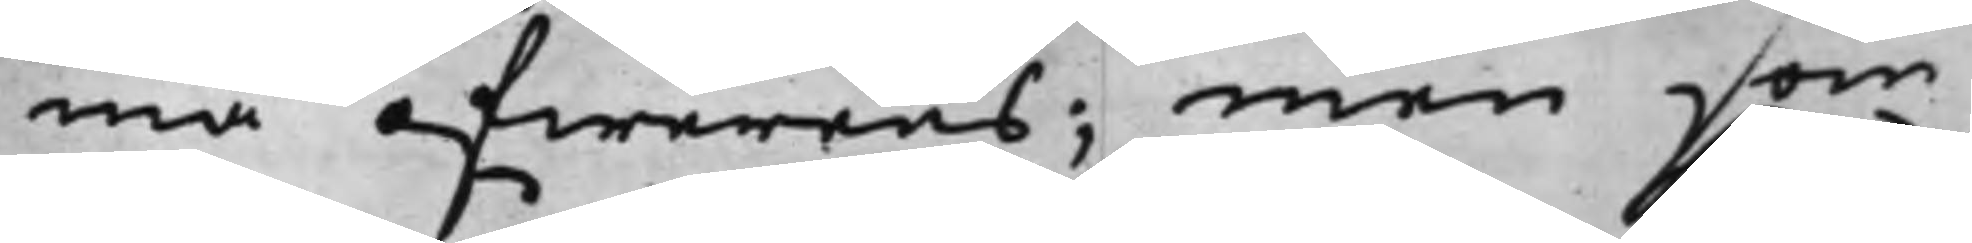ma öfwerens; men som
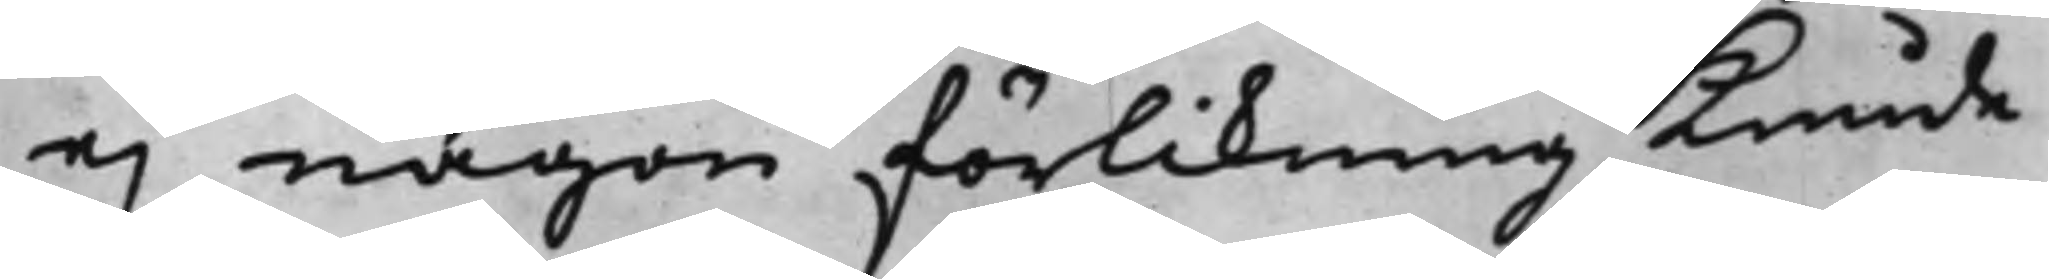ej någon förlikning kunde
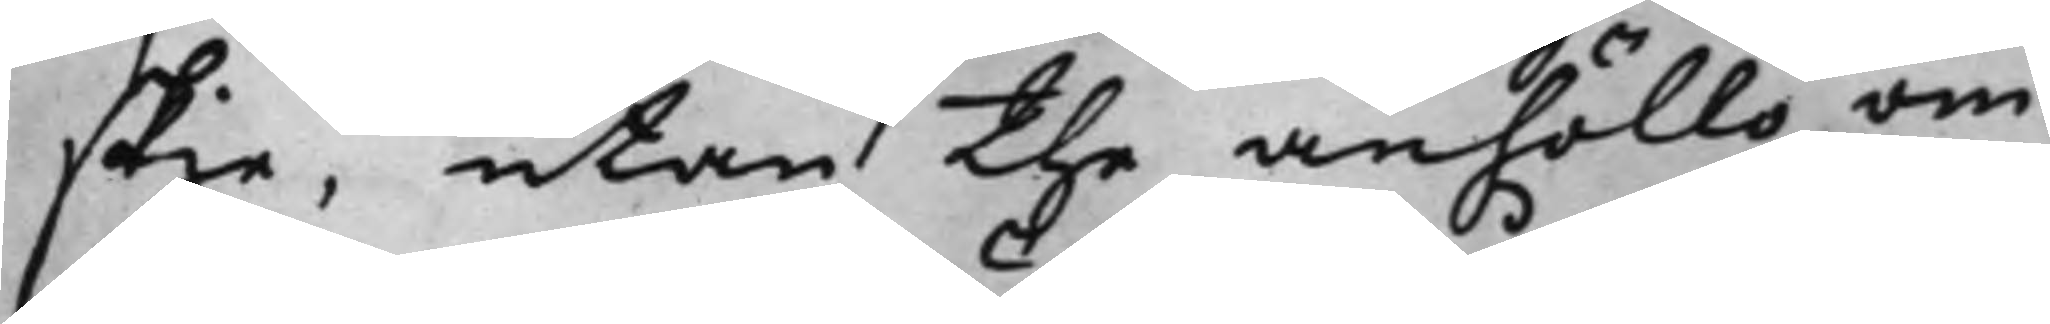skie, utan the anhöllo om
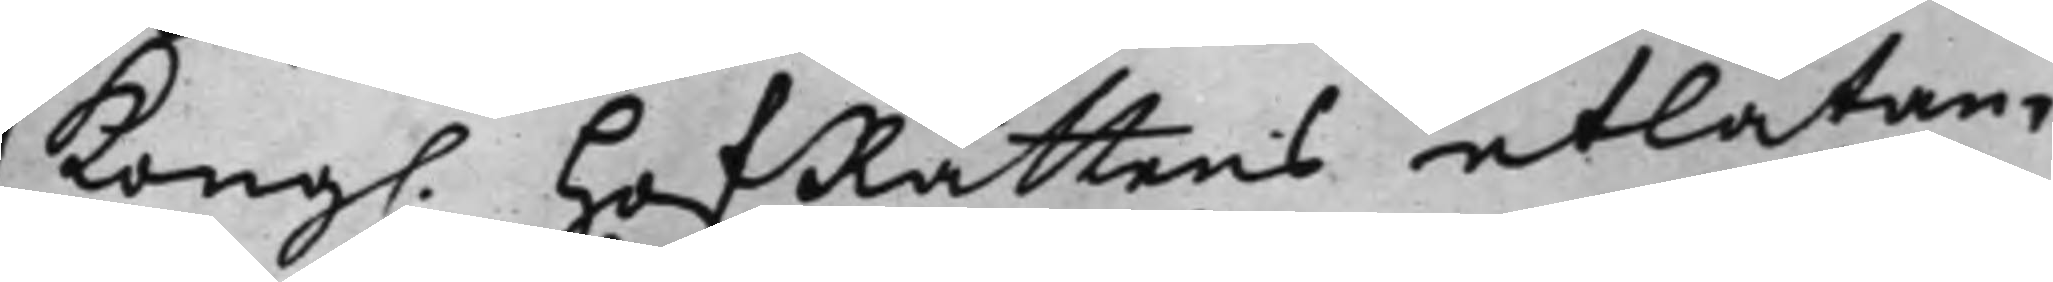Kong. HofRättens utlåtan¬
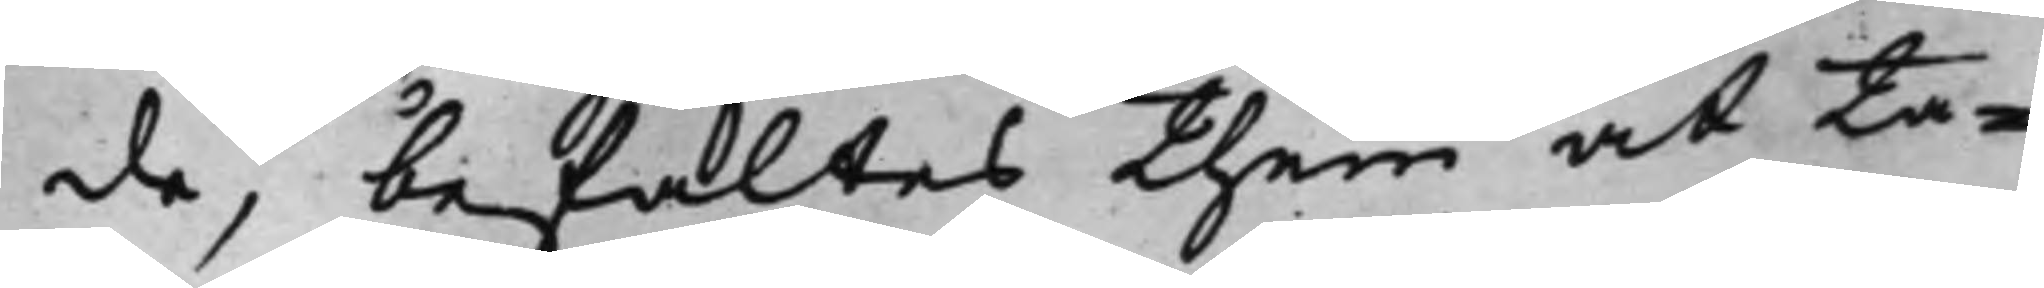de, befaltes them at ta¬
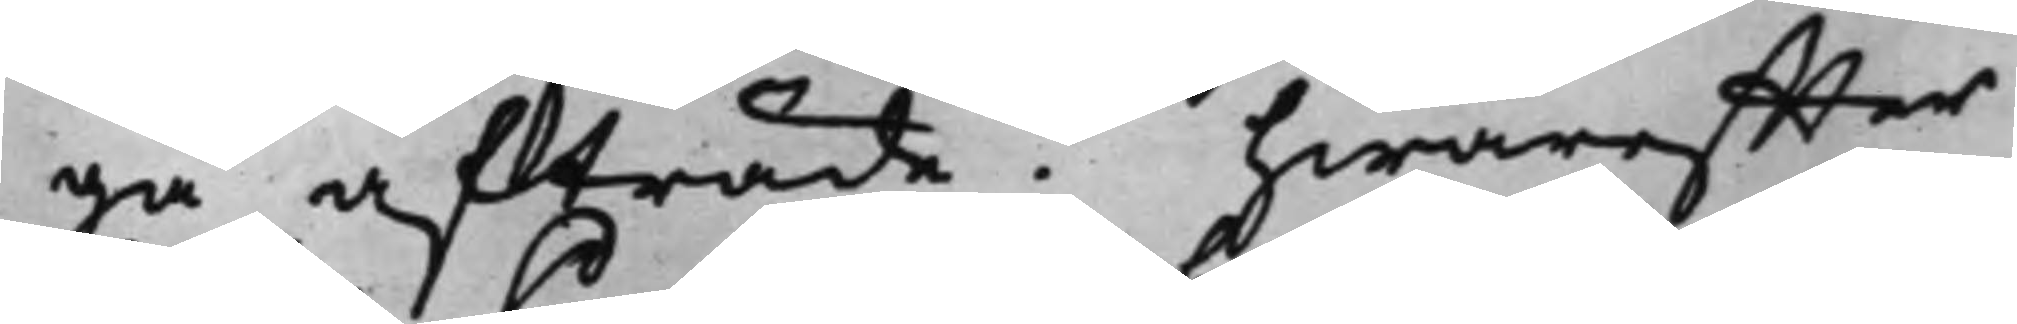ga afträde. hwareffter
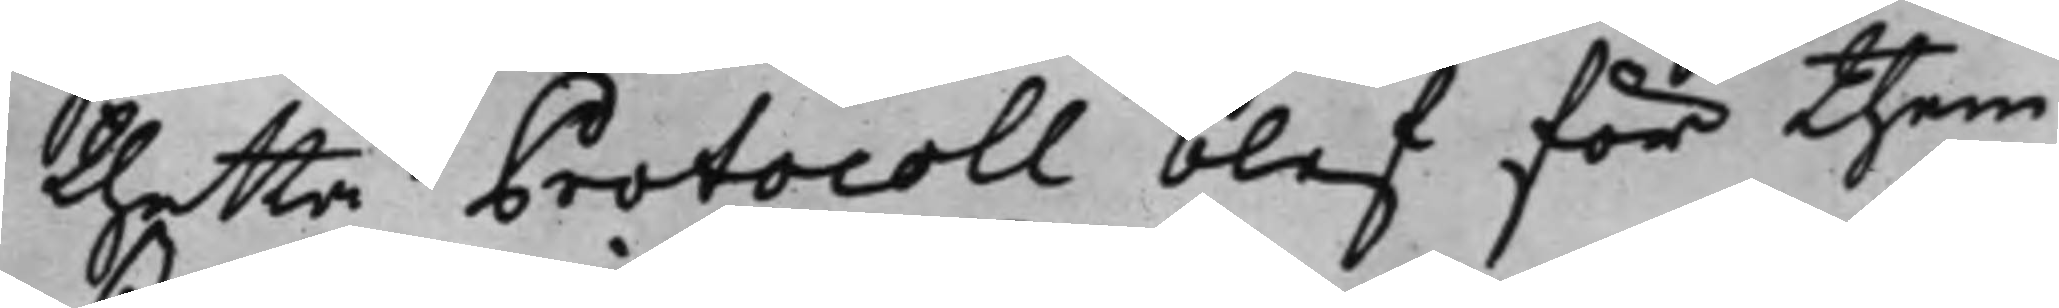thetta Protocoll blef för them
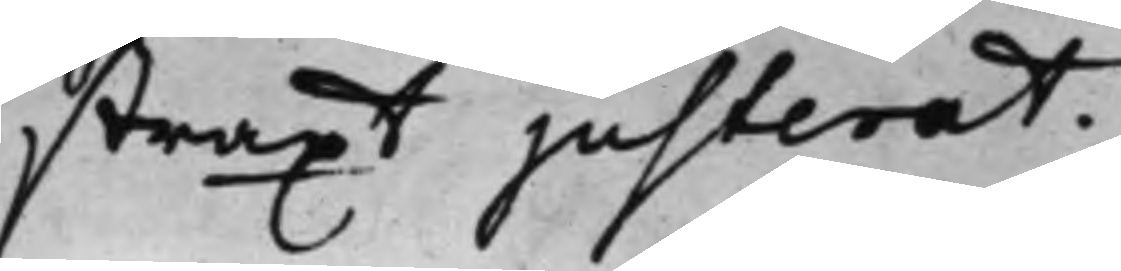straxt justerat.
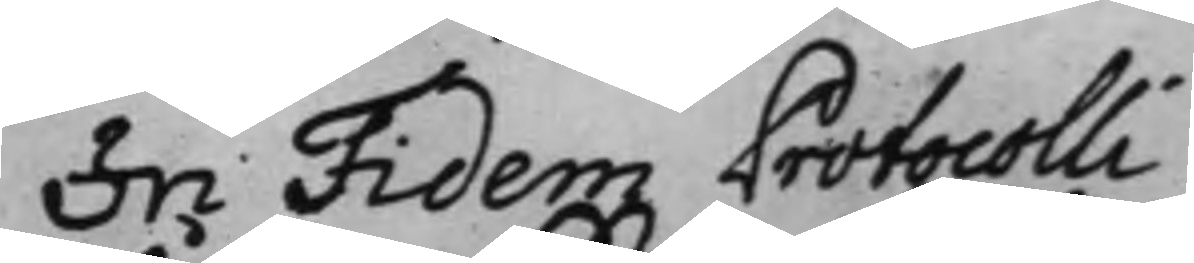In Fidem Protocolli
